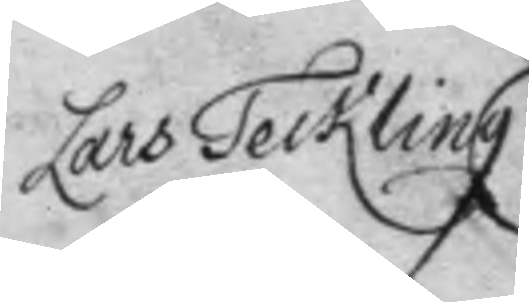Lars Teckling
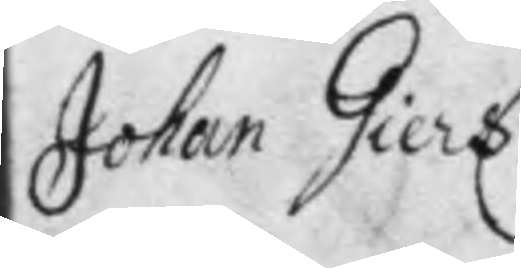Johan Giers
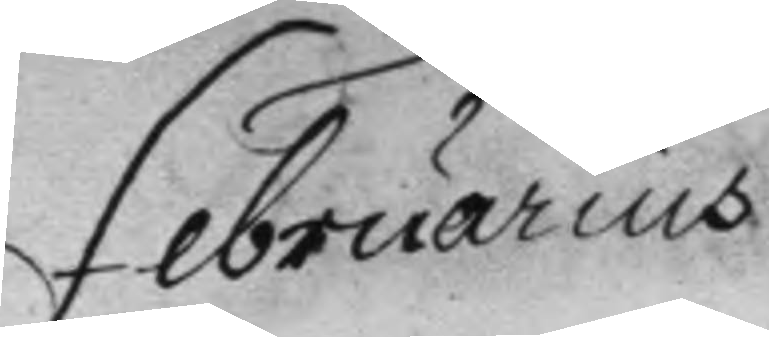Februarius
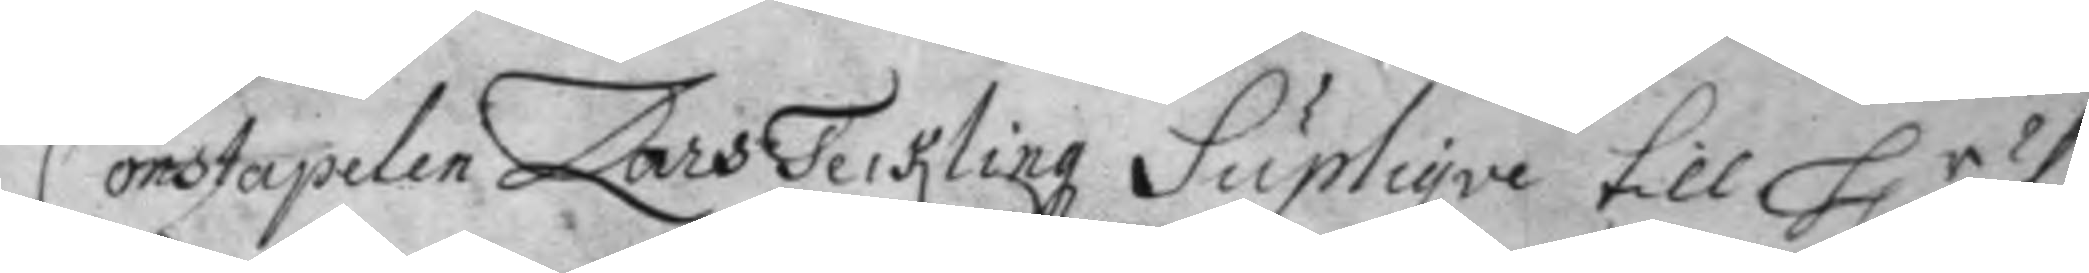Constapelen Lars Teckling Supliqve till H.r öf¬ 
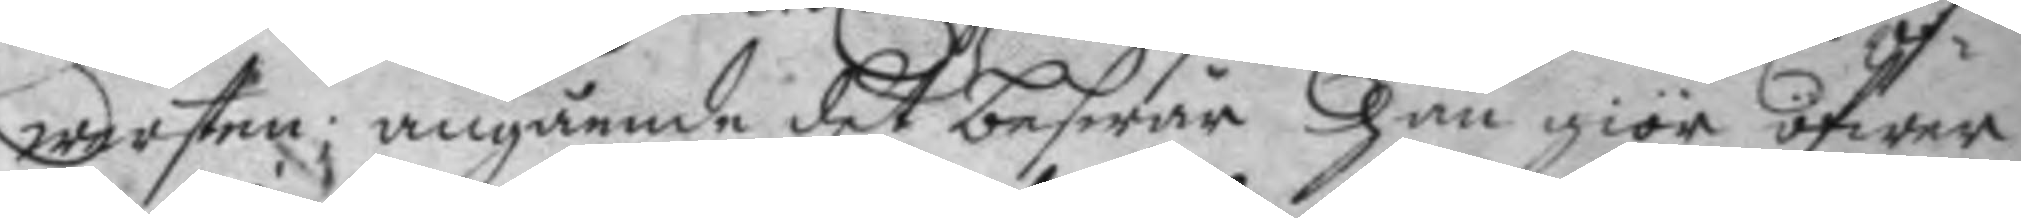wersten; angående det beswär Han giör öfwer
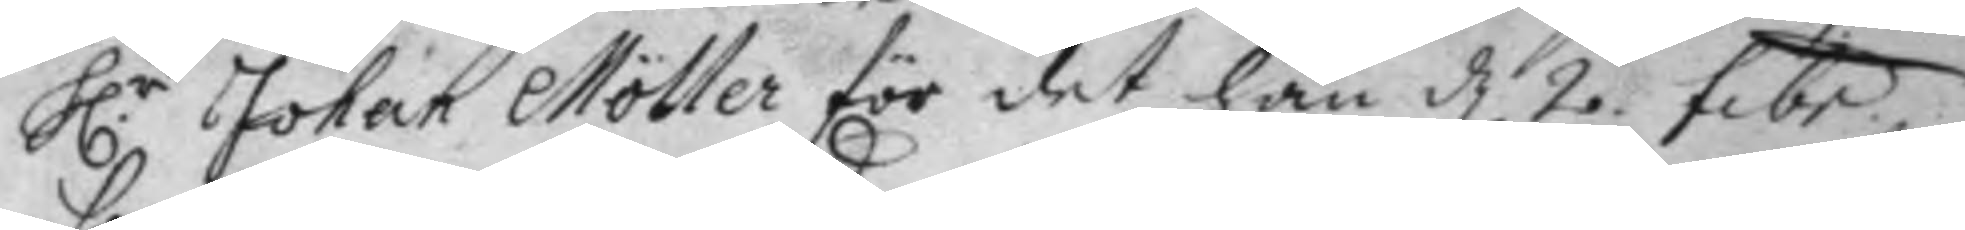H:r Johan Möller för det han d. 2 febr: 
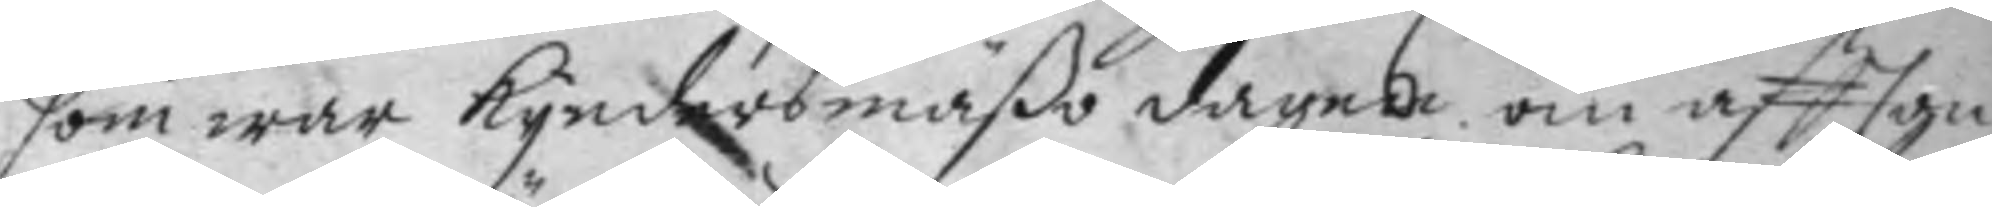som war Kyndersmäßo dagen om aftton¬
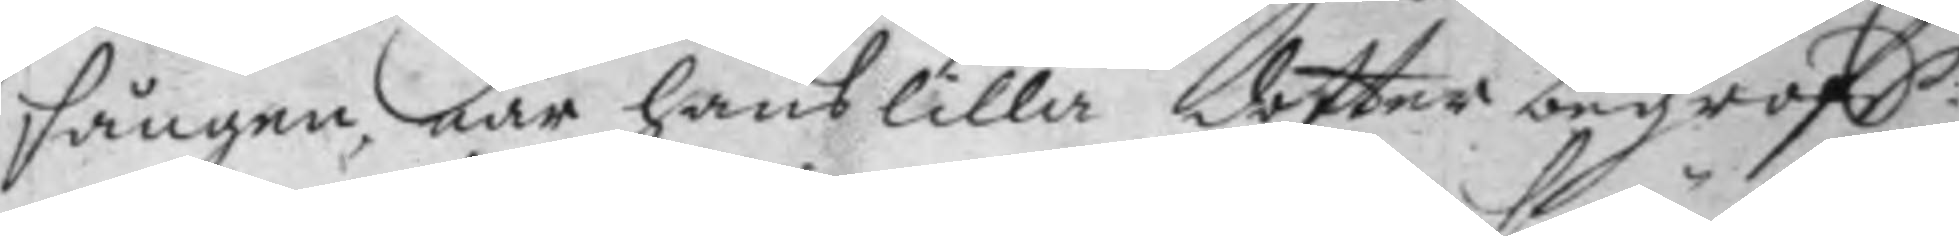sången, när hans lilla dotter begrofs;
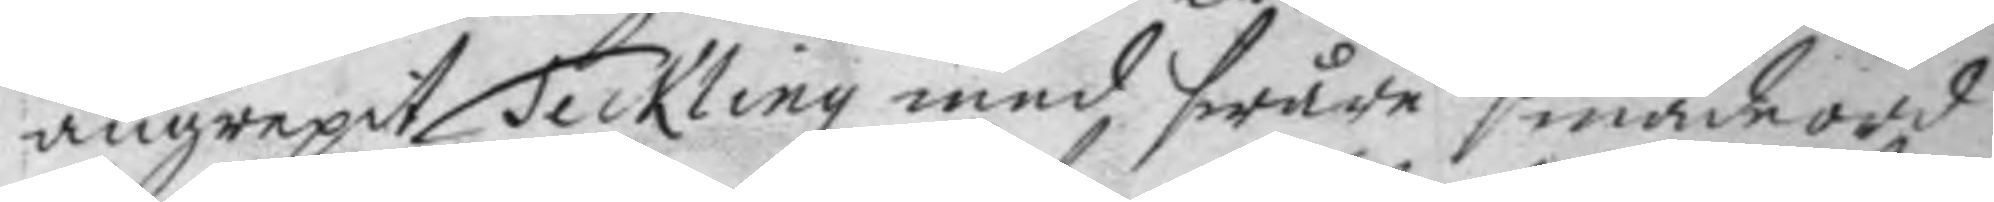angrepit Teckling med swåre smäde ord
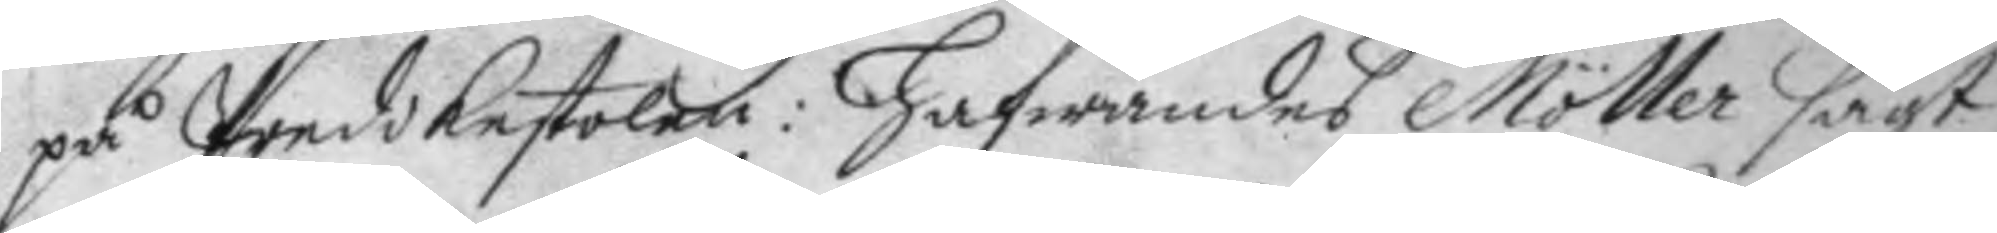på Predikestolen: Hafwandes Möller sagt
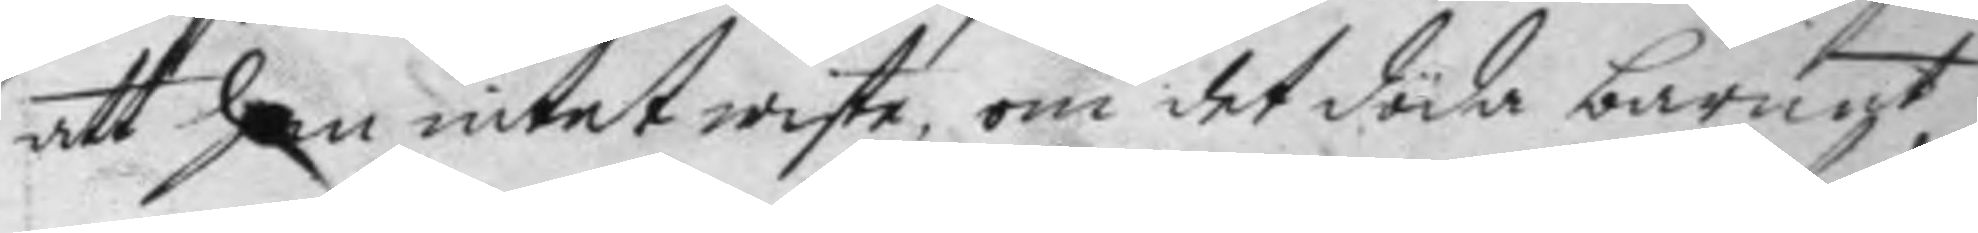att han intet wiste, om det döda barnae,
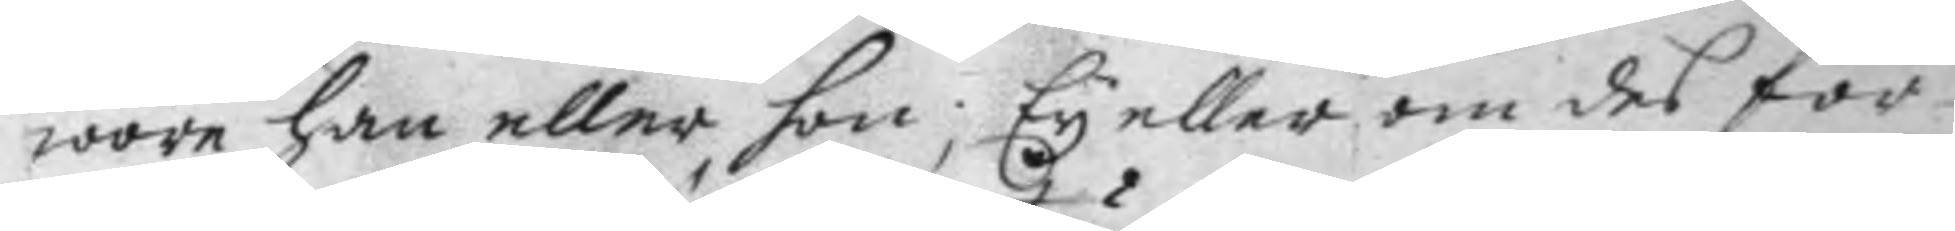wore han eller hon; Ey eller om des för¬
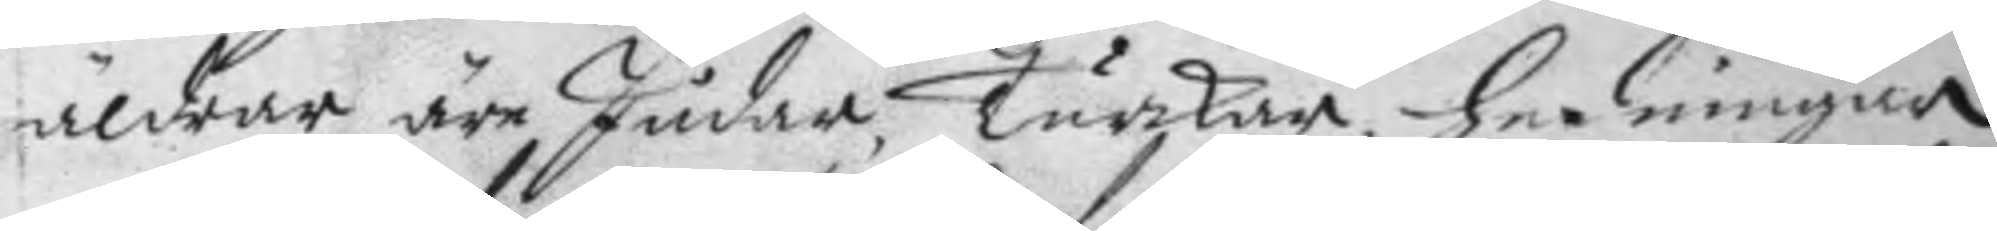äldrar äre Judar, Turkar, Hedningar
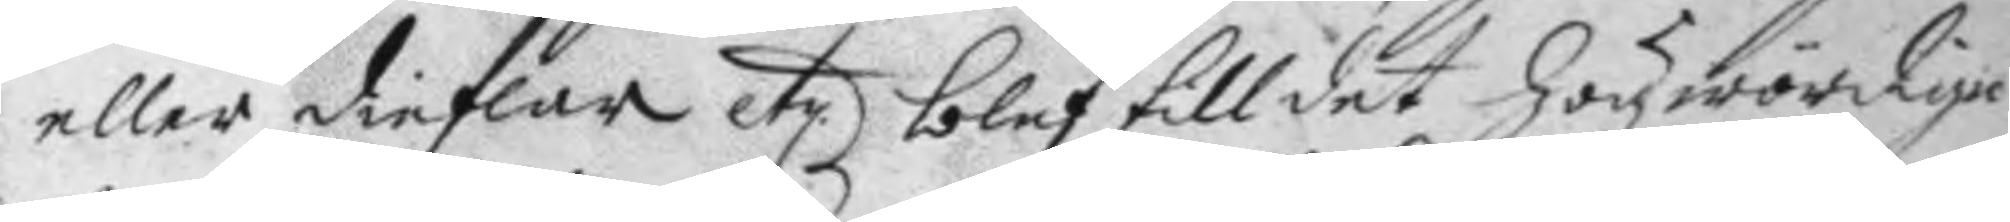eller dieflar etz blef till det högwördige 
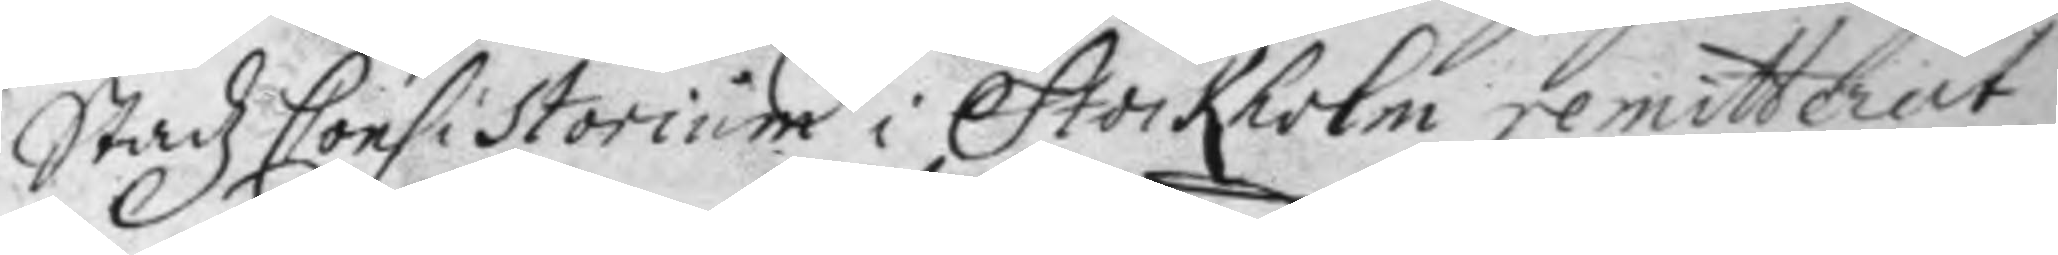Stadz Consistorium i Stockholm remitterat
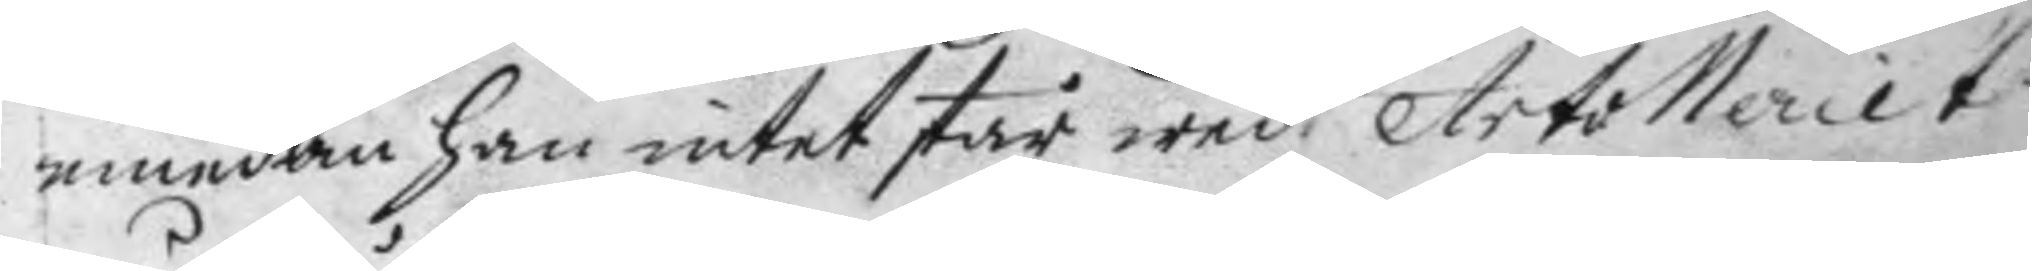emedan han intet står wed Artolleriet
